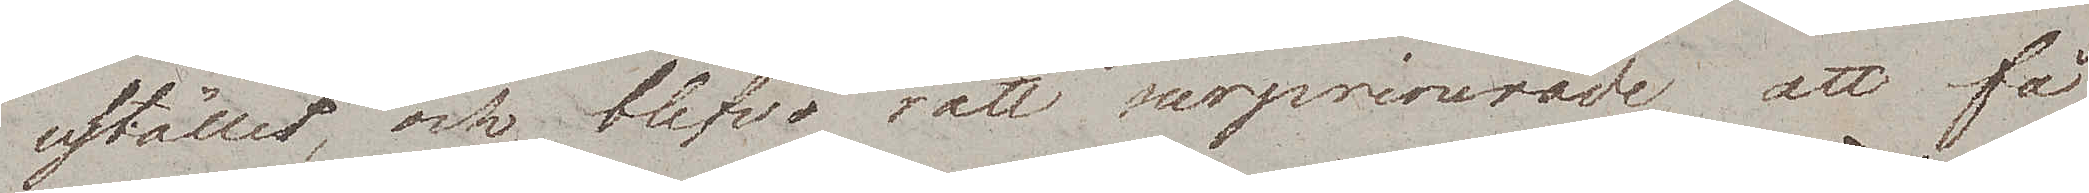stället, och blefvo rätt surprinerade att få
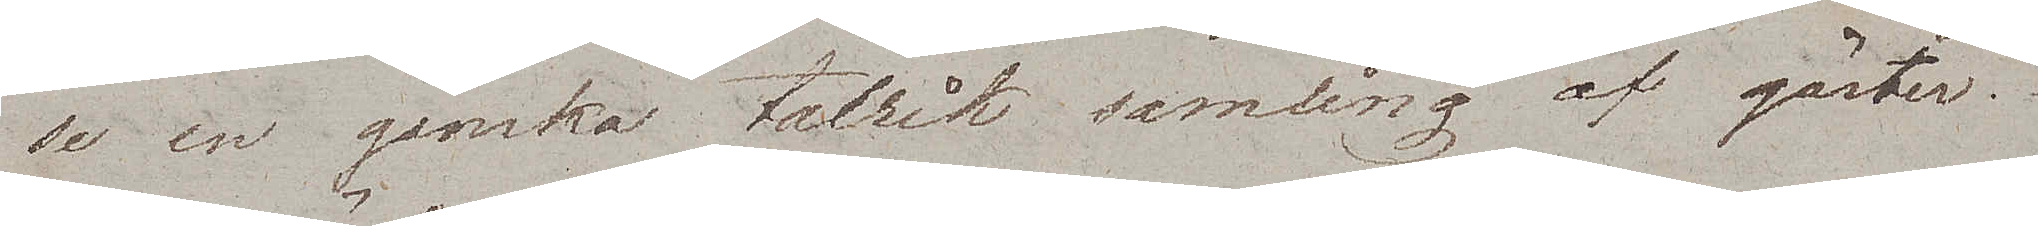se en ganska talrik samling af gäster.
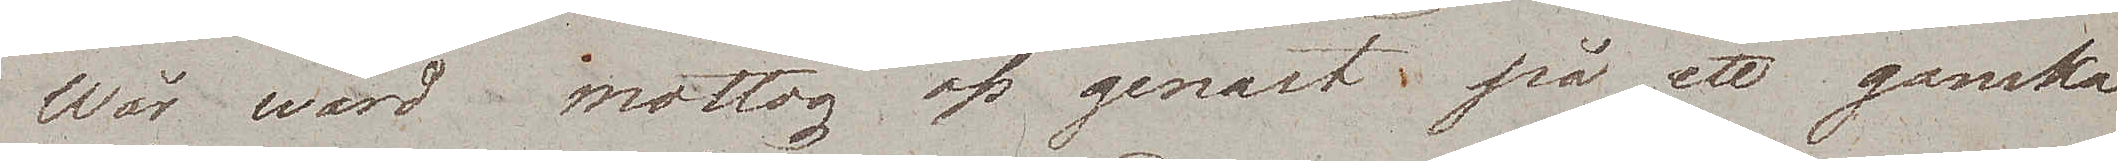Wår wärd mottog oss genast på ett ganska
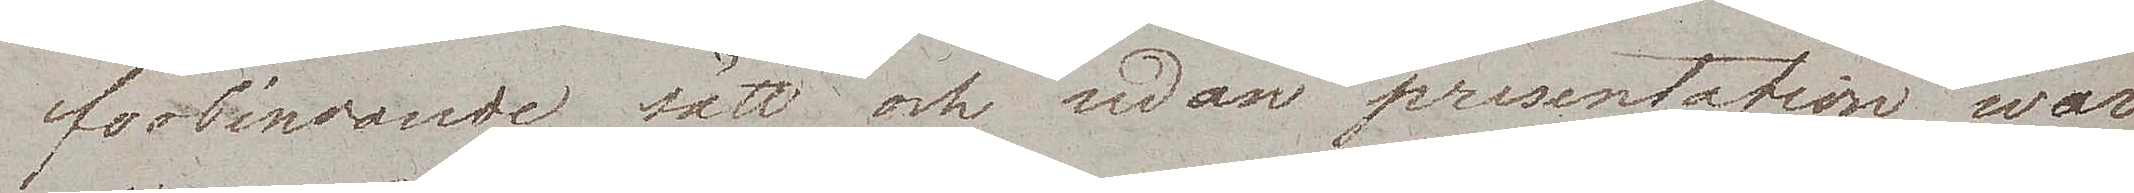förbindande sätt och sedan presentation war
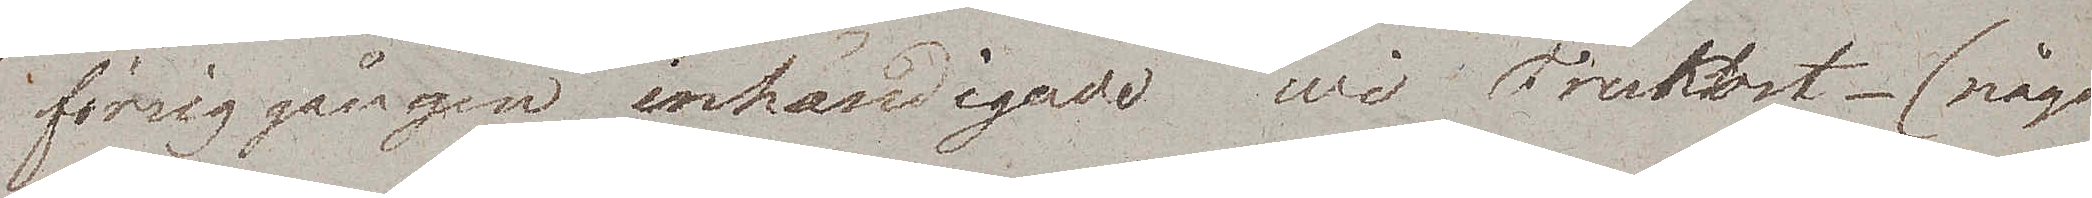försiggången inhändigade wi Frukost – (något
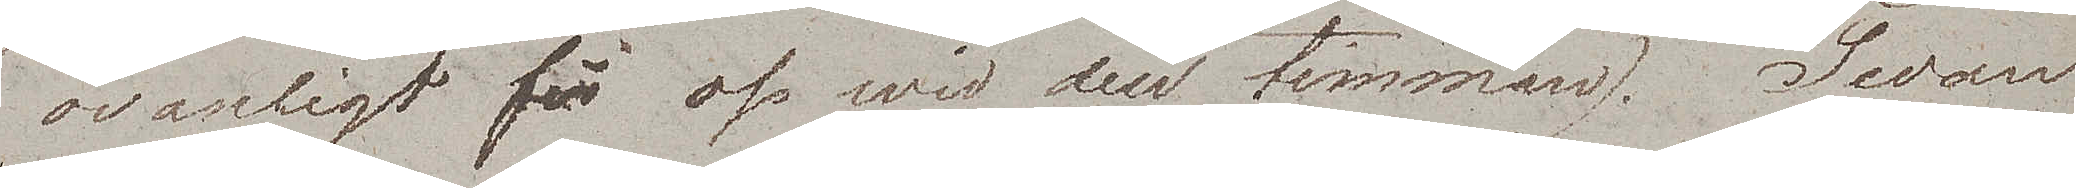ovanligt för oss wid den timman.) Sedan
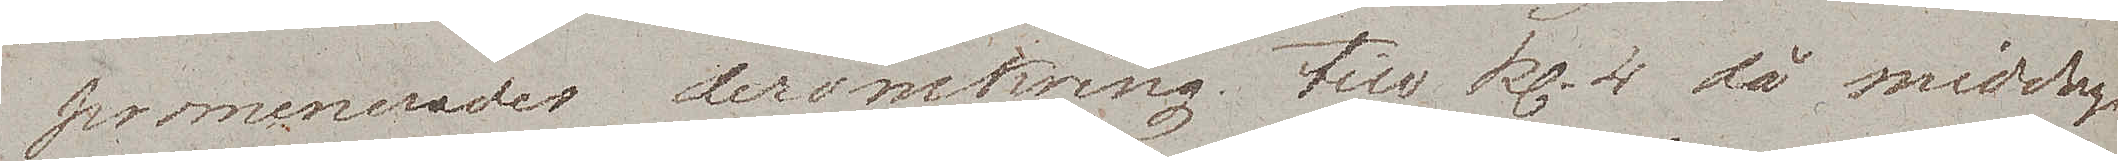promenerades deromkring till kl. 4 då middagen
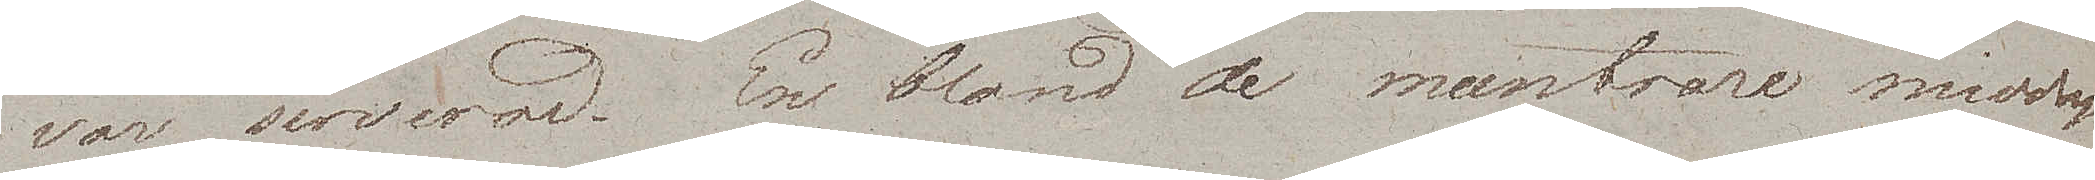var serverad. En bland de muntrare middags¬
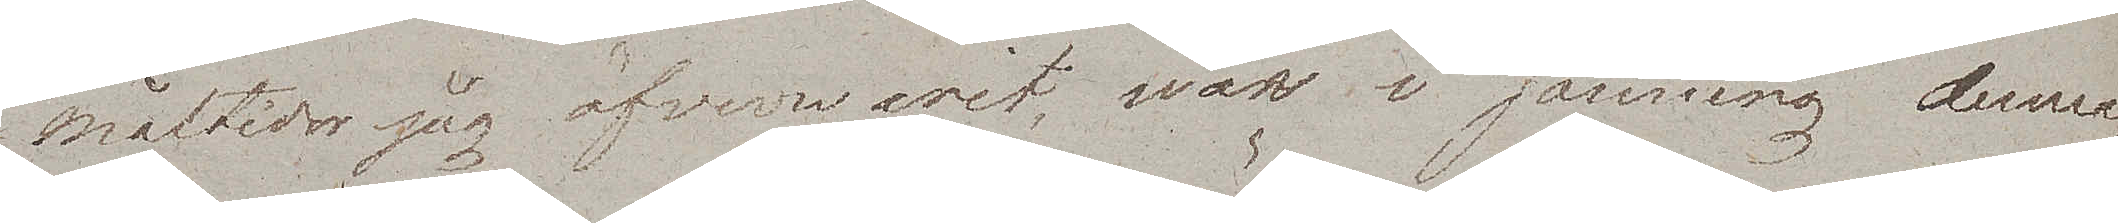måltider jag öfverwarit, war i sanning denna.
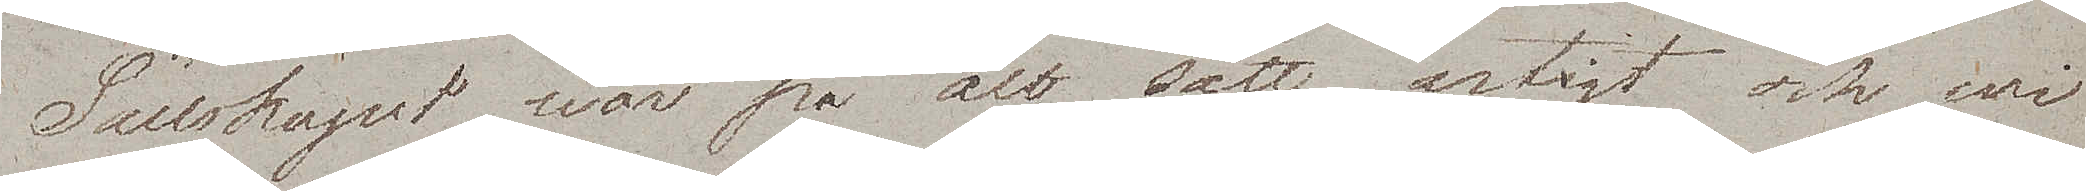Sällskapet war på alt sätt artigt och wi
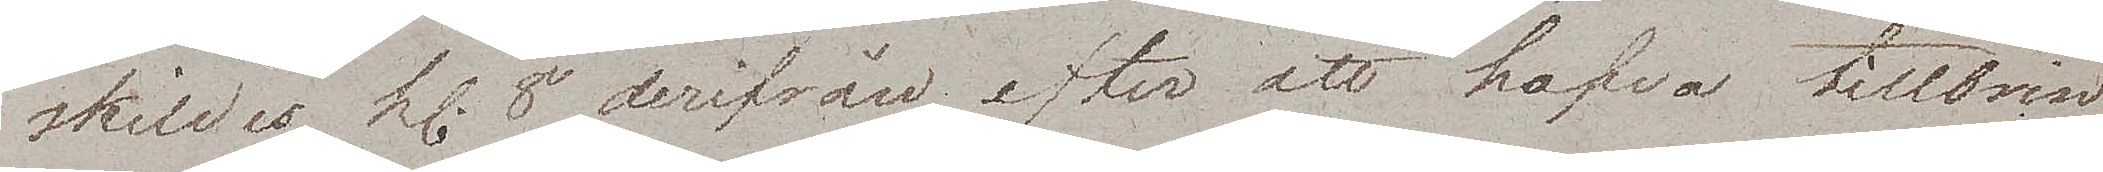skildes kl. 8 derifrån, efter att hafva tillbrin¬
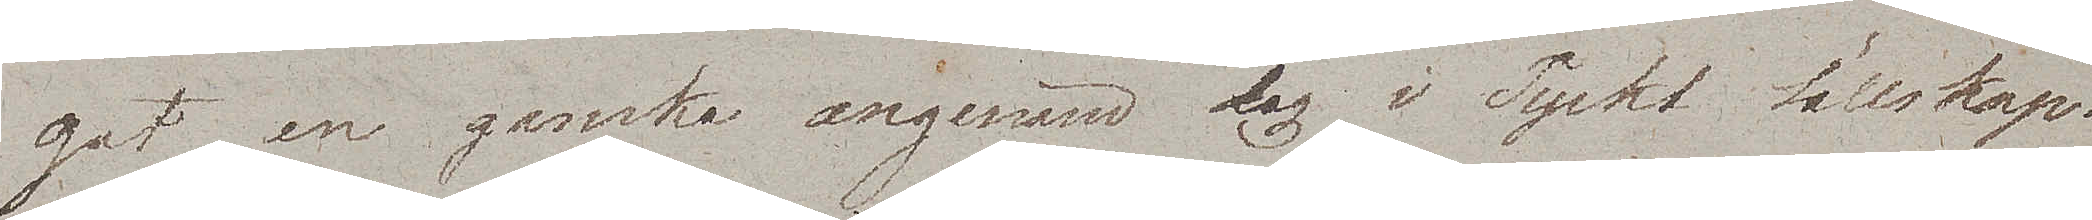gat en ganska angenäm dag i Tyskt sällskap.
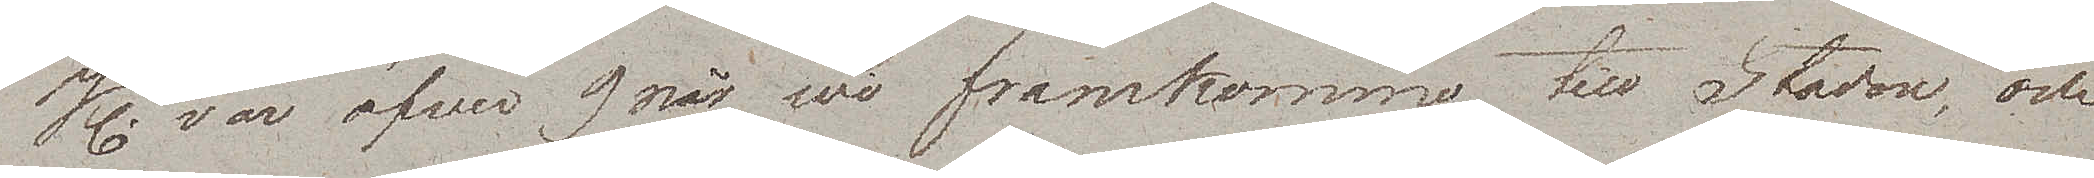Kl. var öfver 9 när wi framkommo till Staden, och
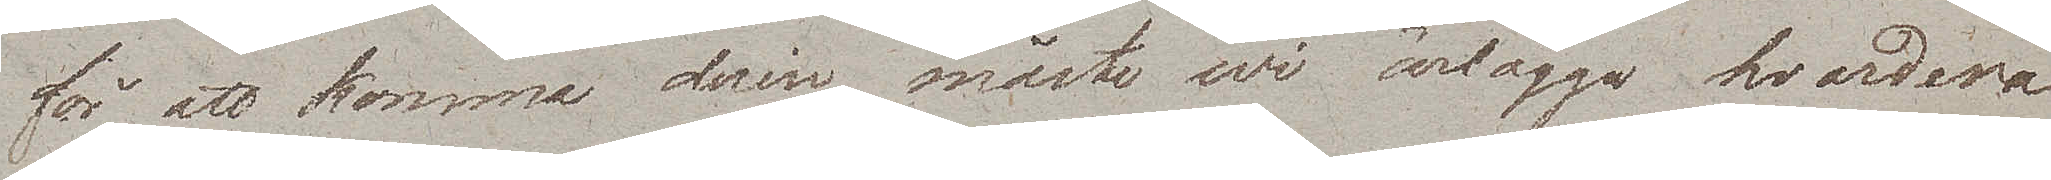för att komma derin måste wi ärlägga hvardera
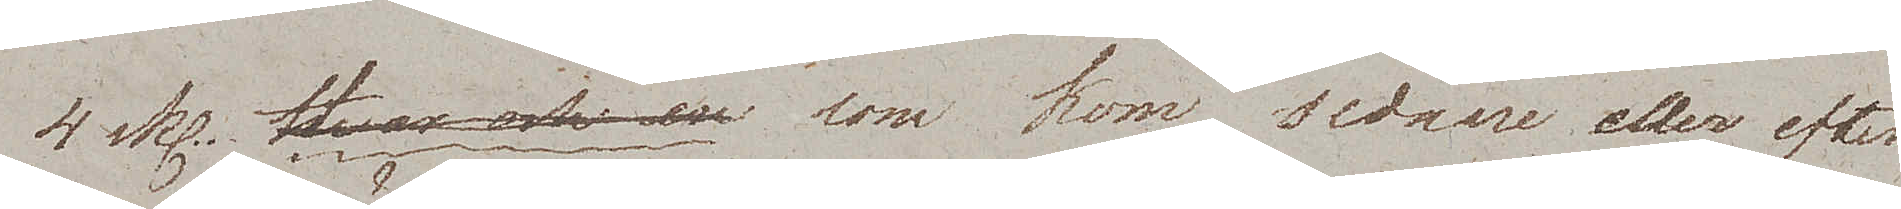4 sks.  Hvar och en som kom sednare eller efter
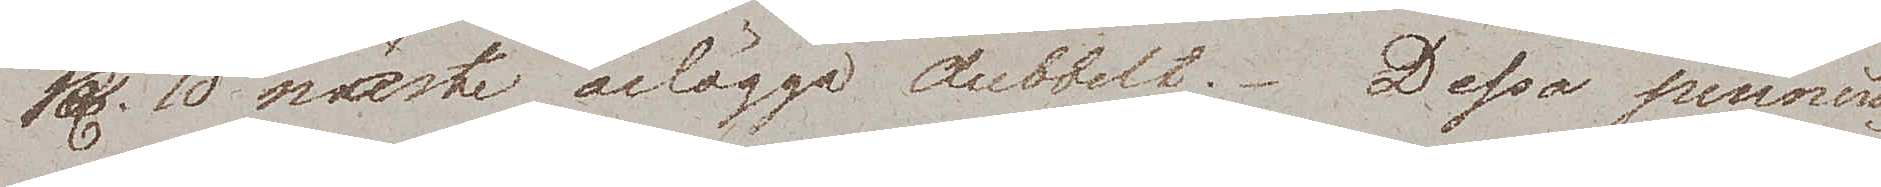kl. 10 måste ärlägga dubbelt. Dessa pennin¬
